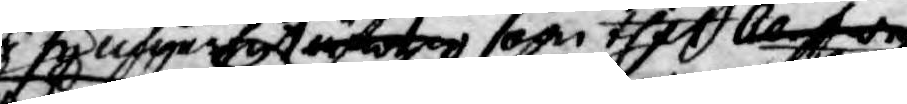i sig noga sett äfwen som thet Censor
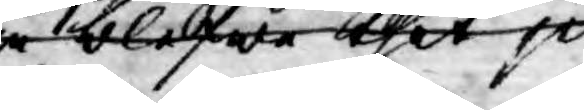så blefwe thet ju 
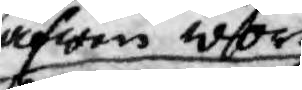äfwen wore
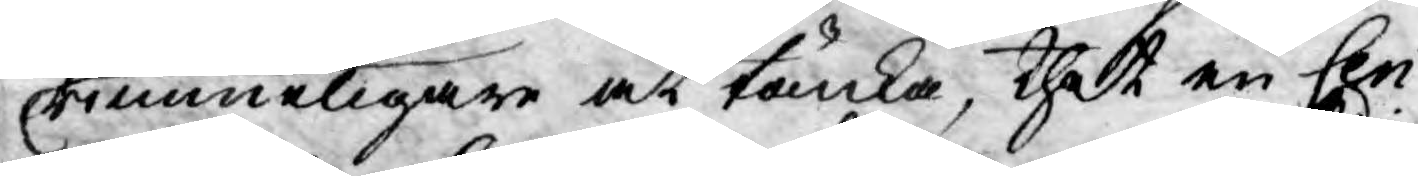rimmeligare at tänka, thet en Cen¬
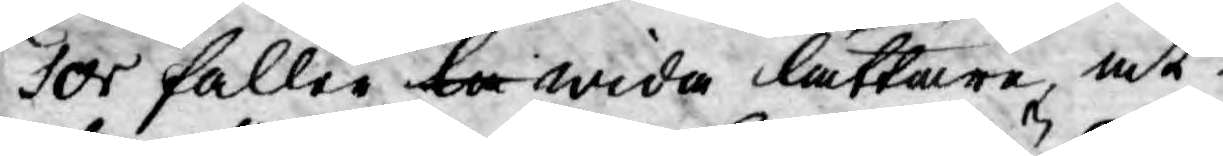sor faller la wida lättare, at
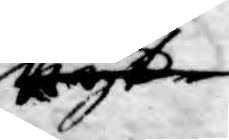nyt¬
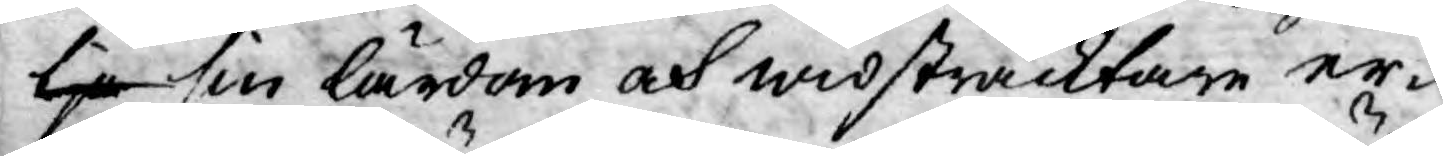tja sin lärdom och widsträcktare er¬
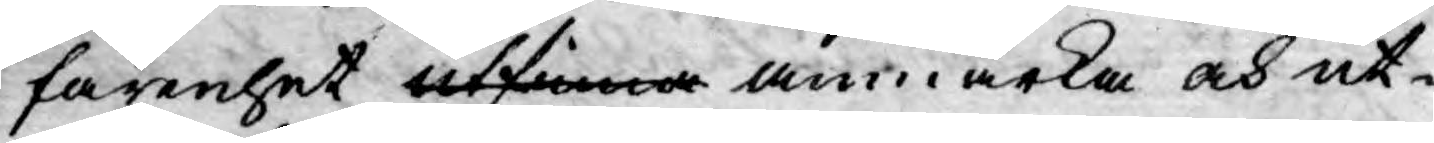farenhet utfinna anmärka och ut-
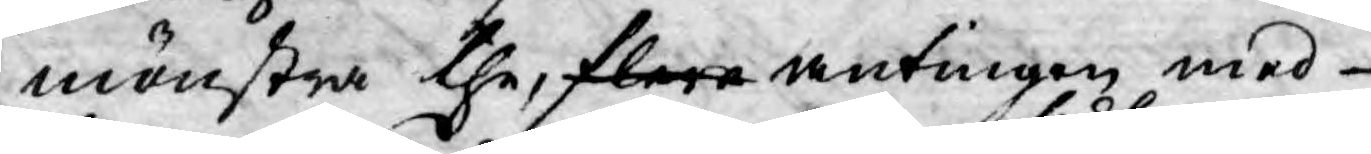mönstra the, flere antingen med
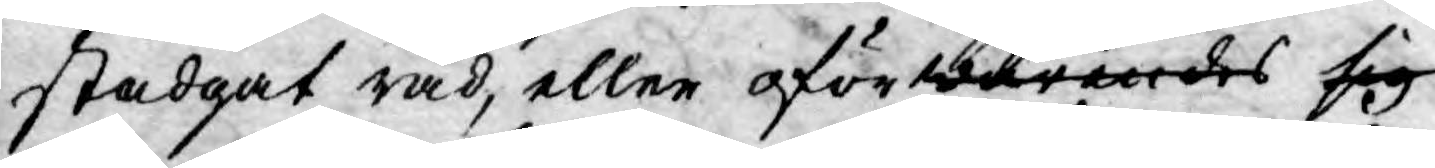stadgat råd, eller oförwarandes sedt sig
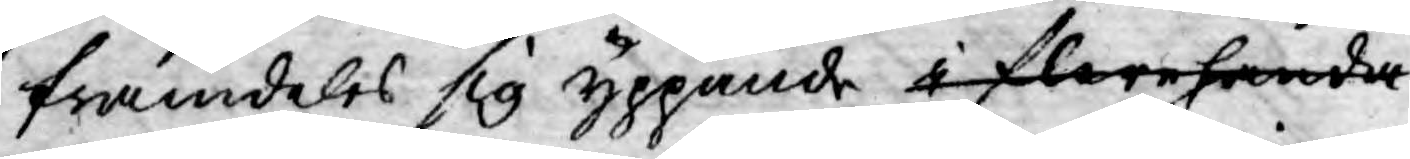framdeles sig yppande i flerehanda
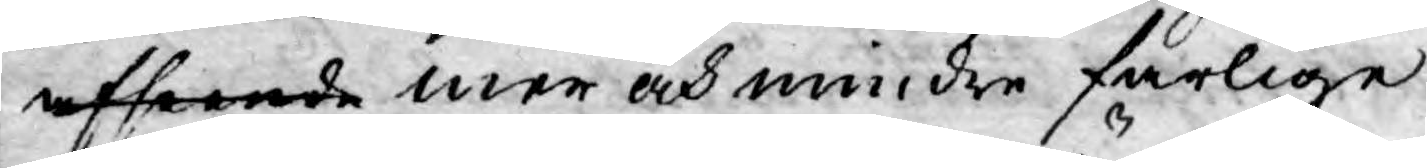afseende mer och mindre farlige
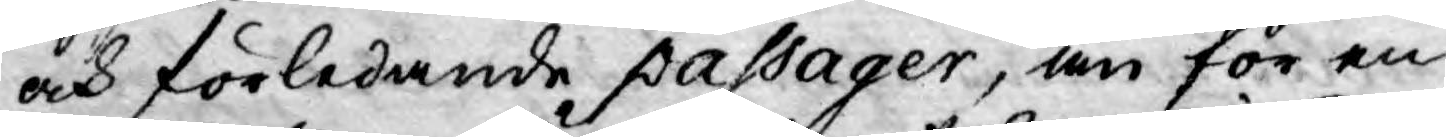och förledande passager, än för en
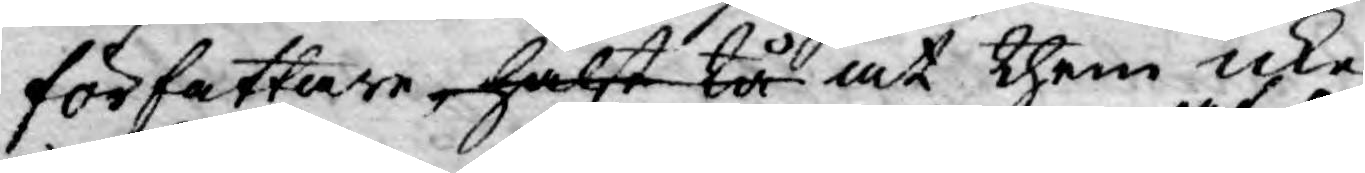författare, hälst tå at them icke
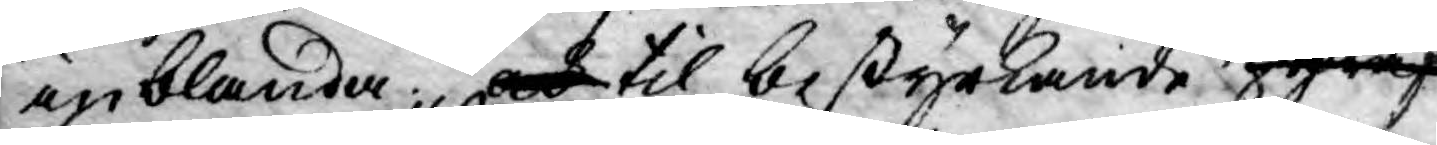inblanda; och til bestyrkande häraf
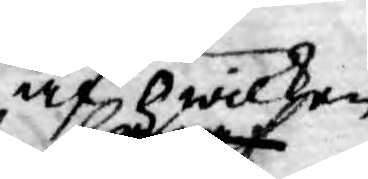af hwilken
